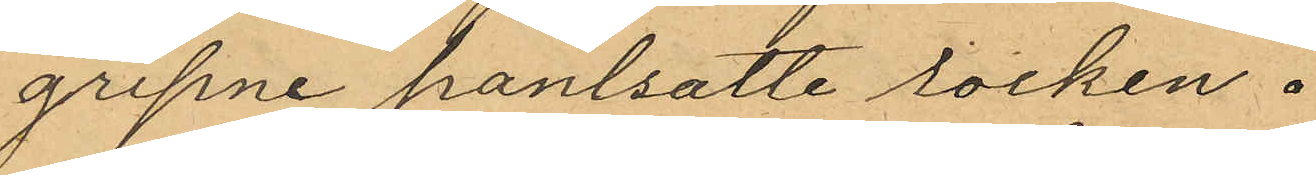gripne pantsatte rocken.
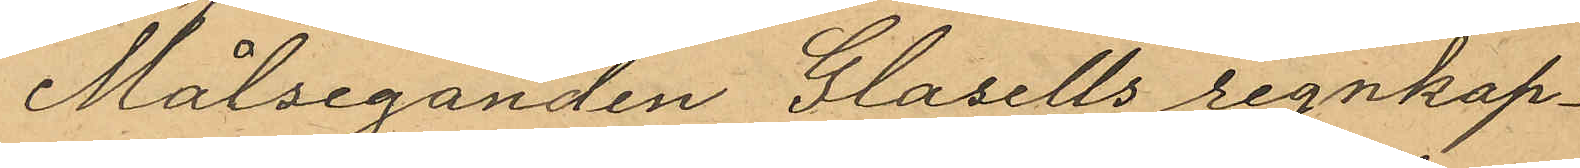Målseganden Glasells regnkap¬
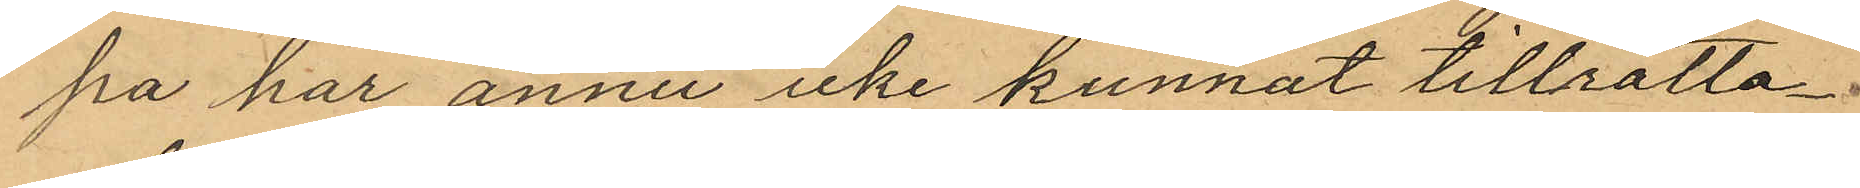pa har ännu icke kunnat tillrätta
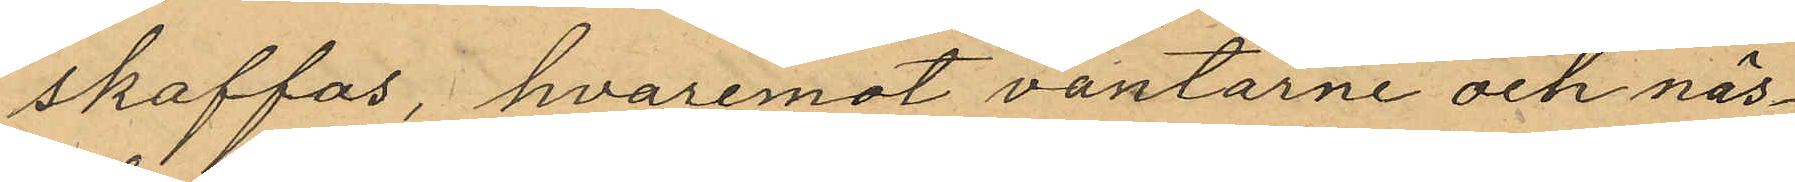skaffas, hvaremot vantarne och näs¬
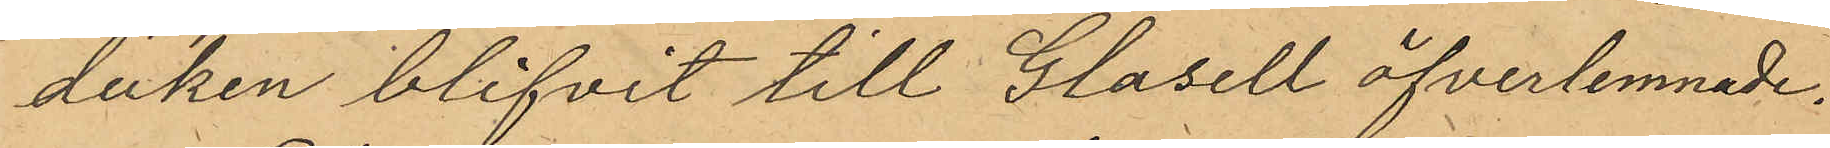duken blifvit till Glasell öfverlemnade.
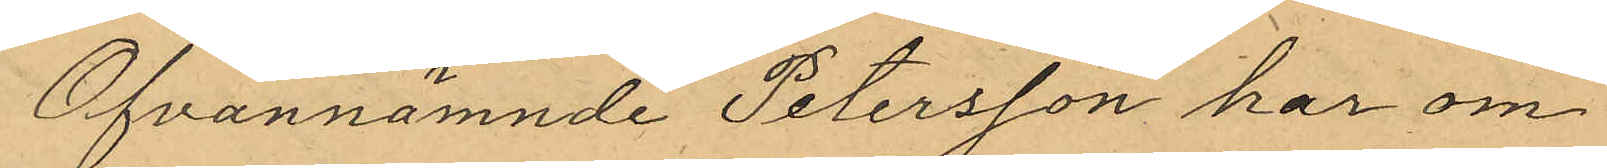Ofvannämnde Petersson har om
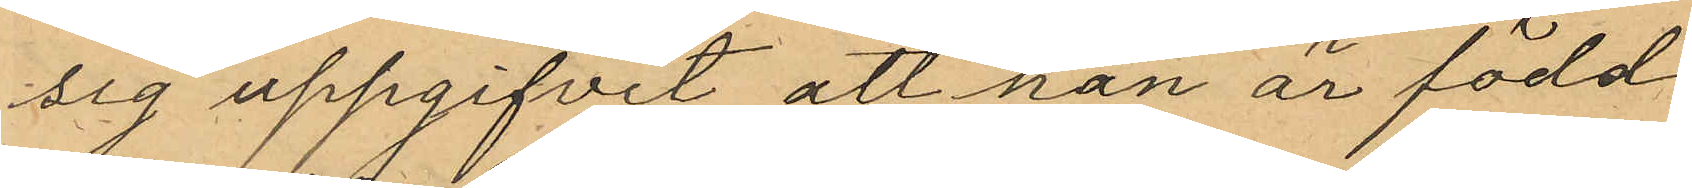sig uppgifvit att han är född
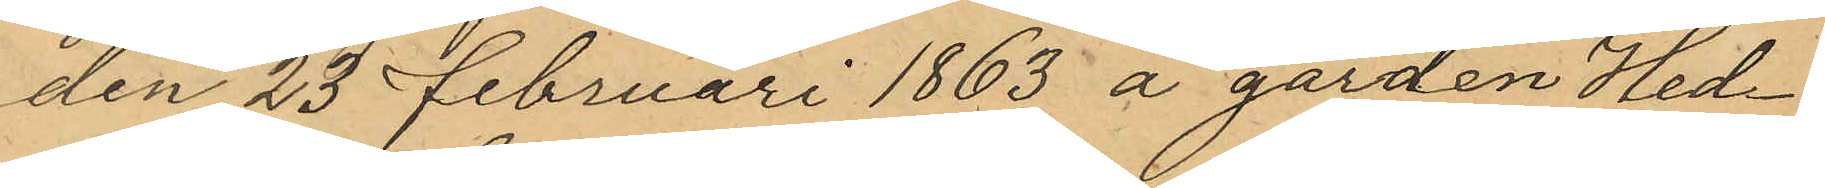den 25 februari 1865 å gården Hed¬
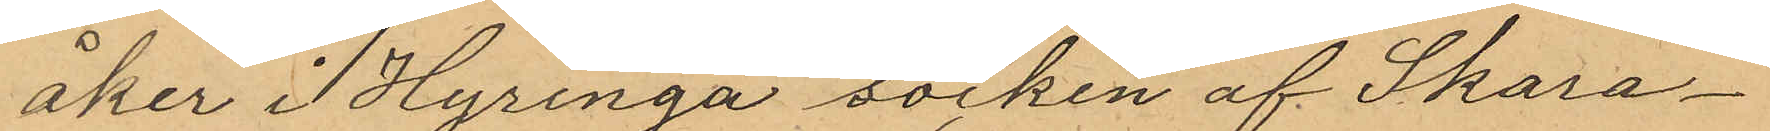åker i Hyringa socken af Skara¬
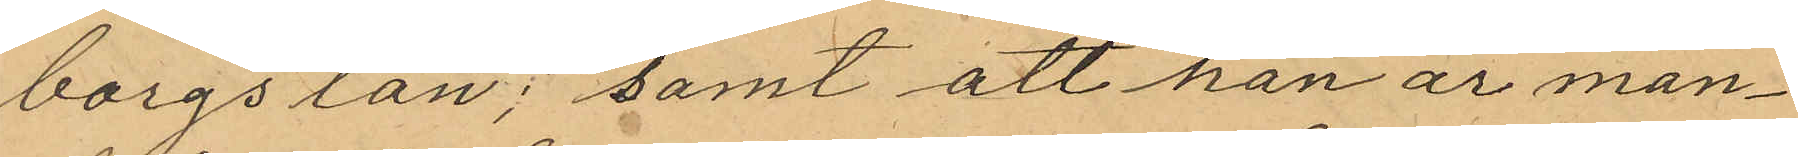borgs län; samt att han är man¬
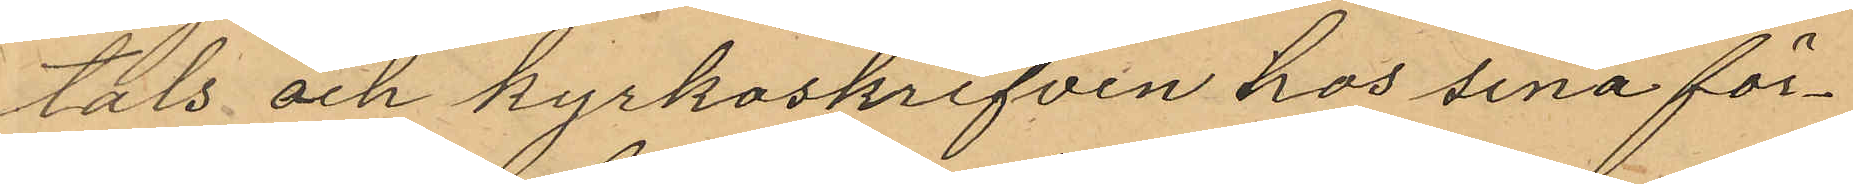tals och kyrkoskrifven hos sina för¬
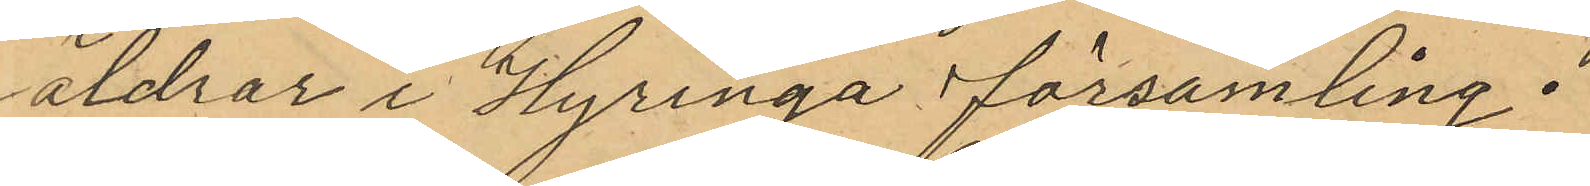äldrar i Hyringa församling.
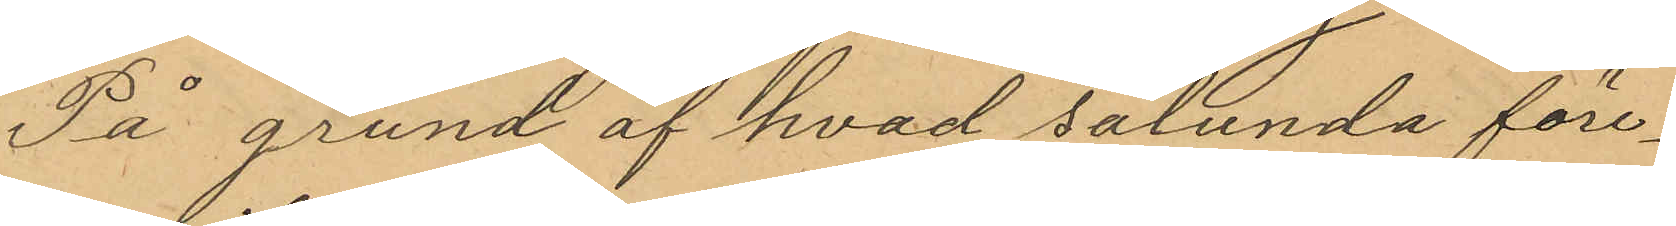På grund af hvad sålunda före¬
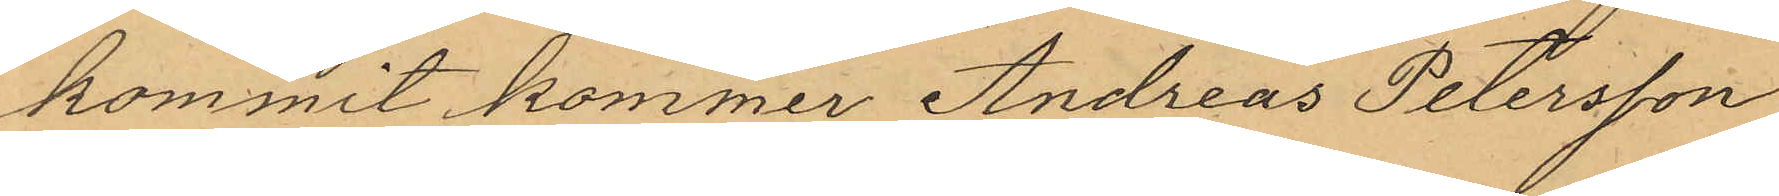kommit kommer Andreas Petersson
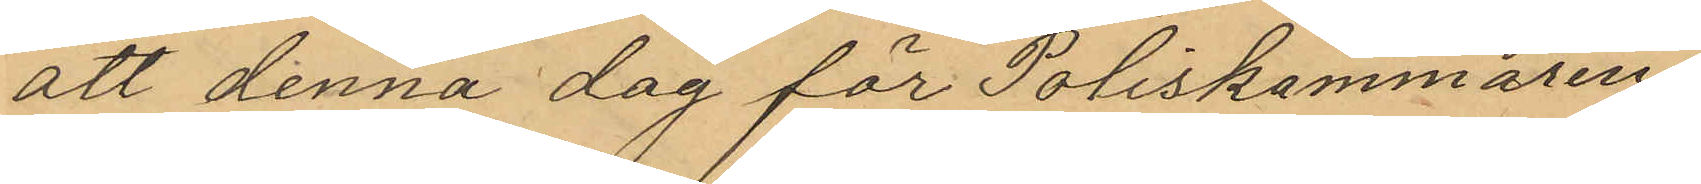att denna dag för Poliskammaren
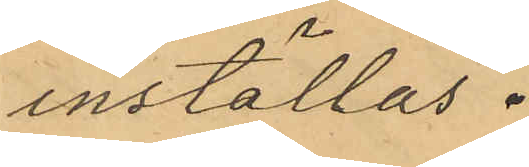inställas.
